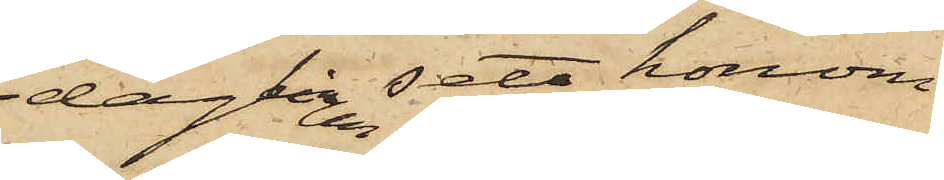dagligen sett honom
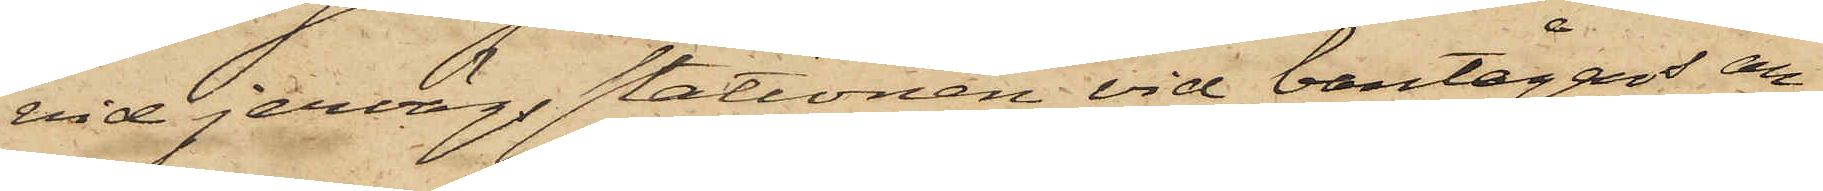vid jernvägsstationen vid bantågens an¬
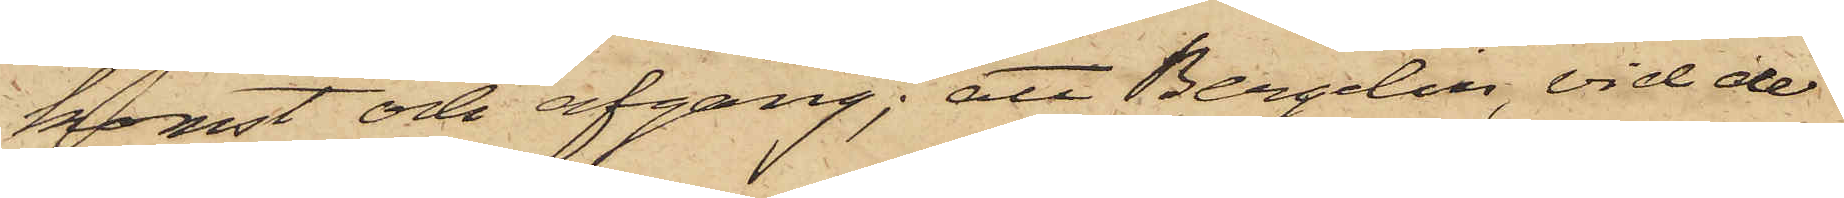komst och afgång; att Bergelin, vid de
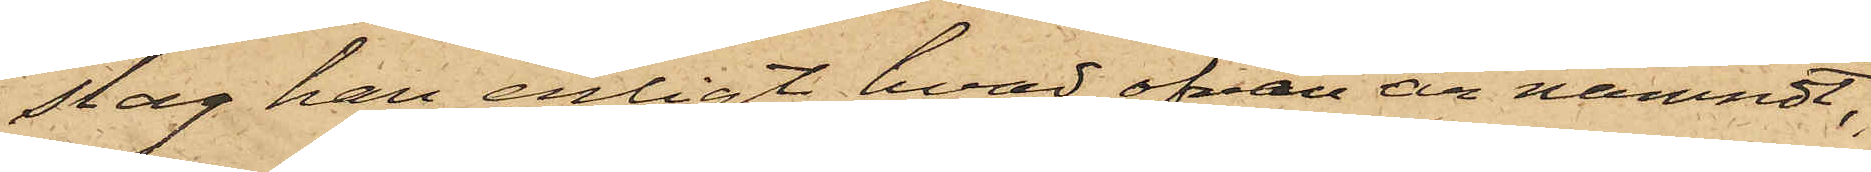slag han, enligt hvad ofvan är nämndt,
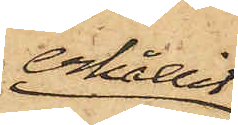erhållit
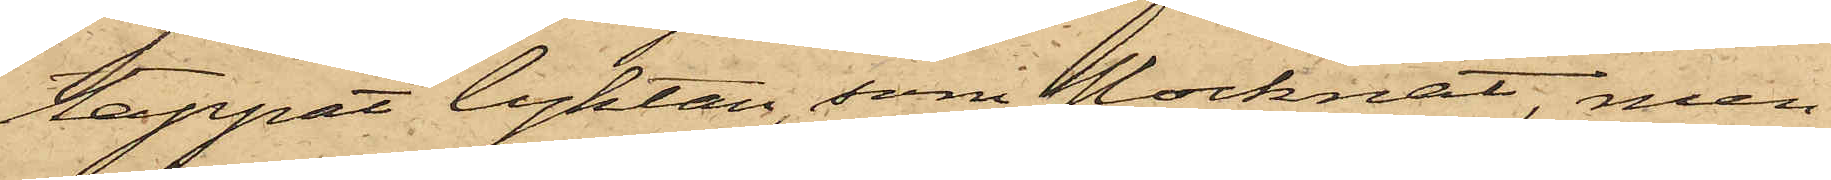tappat lyktan, som slocknat, men
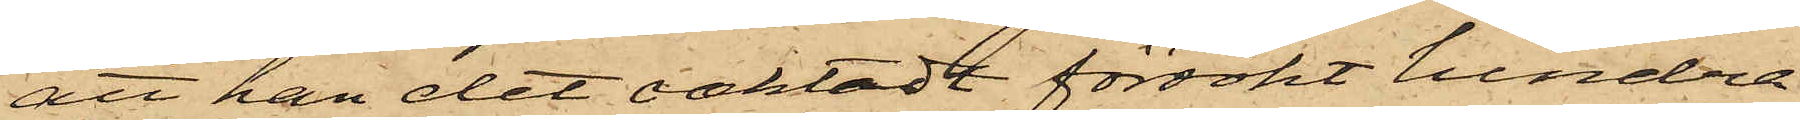att han det oaktadt försökt hindra
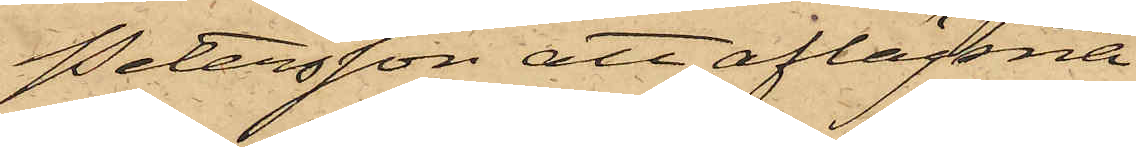Petersson att aflägsna
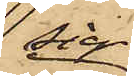sig
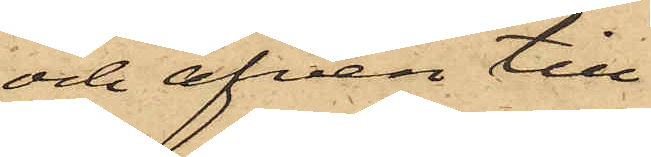och äfven till¬
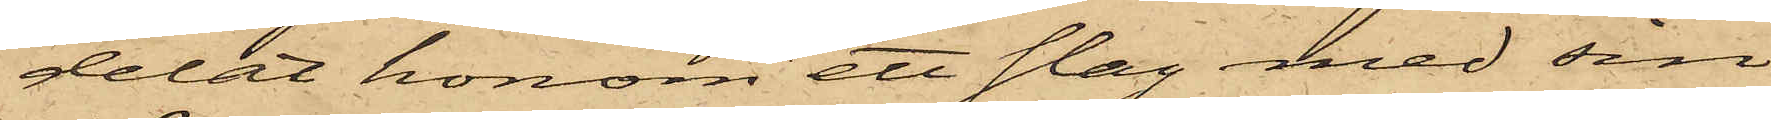delat honom ett slag med sin
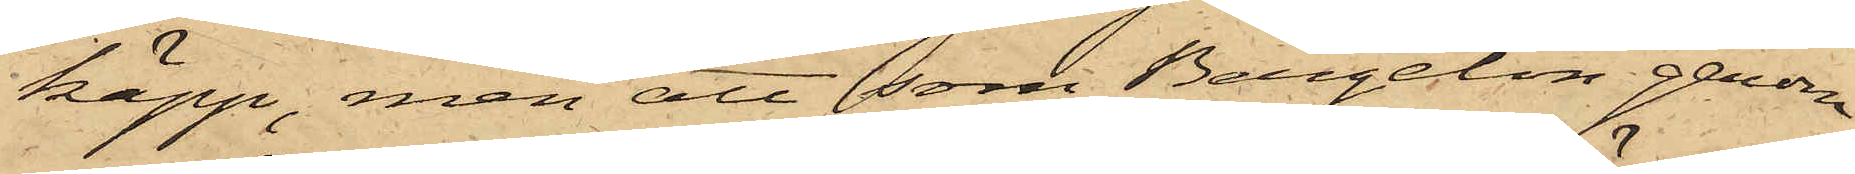käpp, men att som Bergelin genom
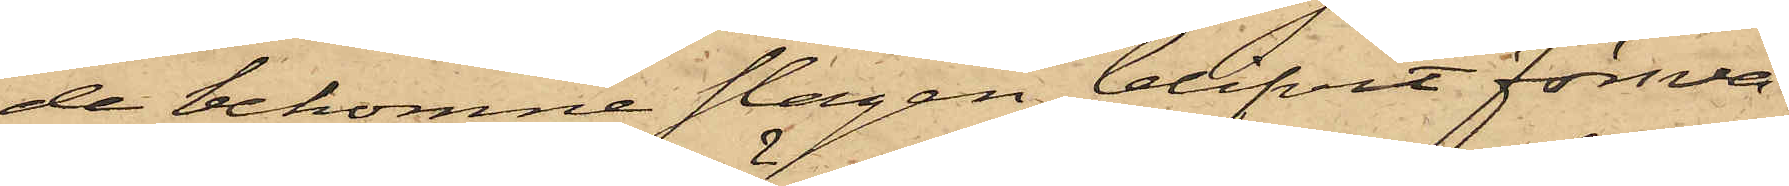de bekomne slagen blifvit försva¬
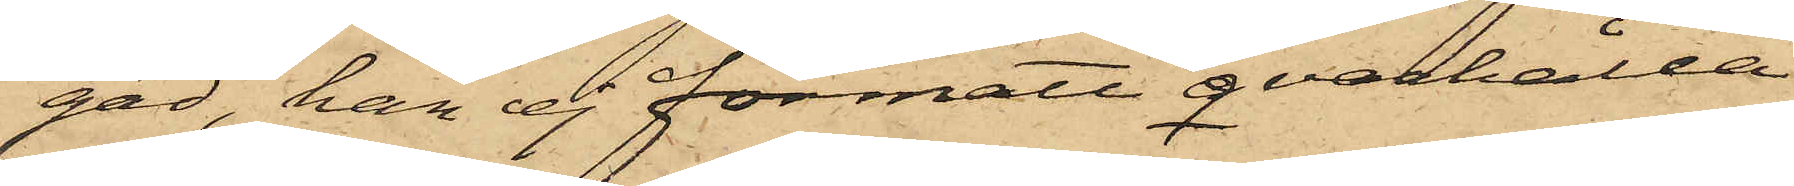gad, han ej förmått qvarhålla
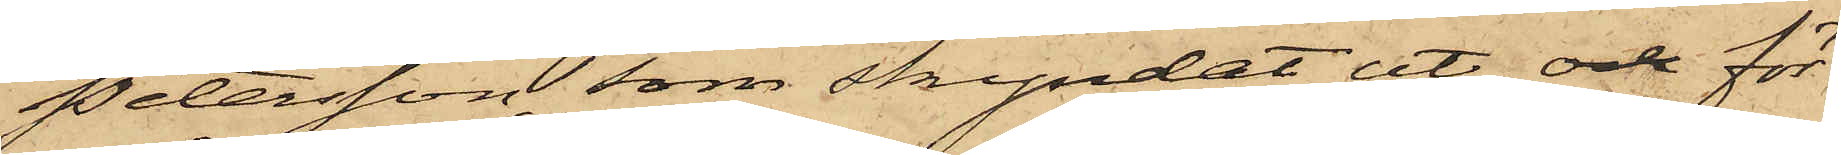Petersson, som skyndat ut, och för¬
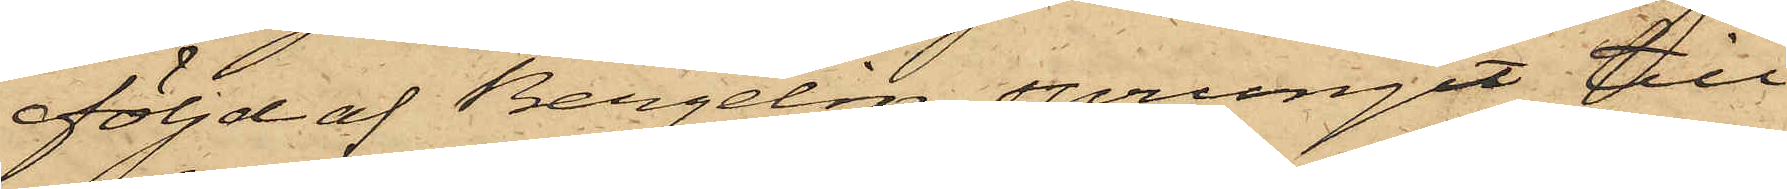följd af Bergelin, sprungit till
